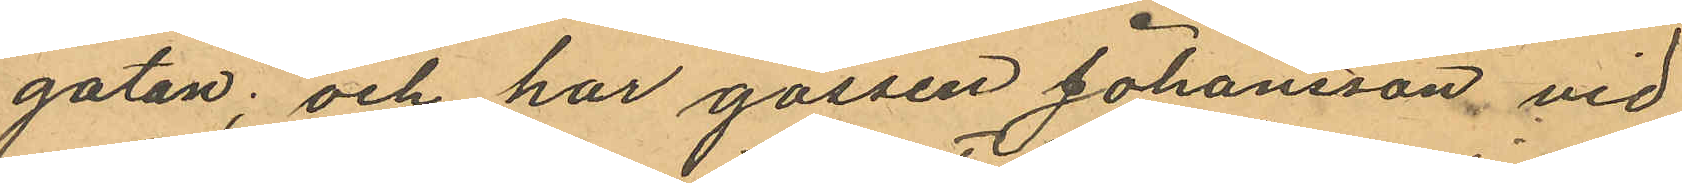gatan; och har gossen Johansson vid
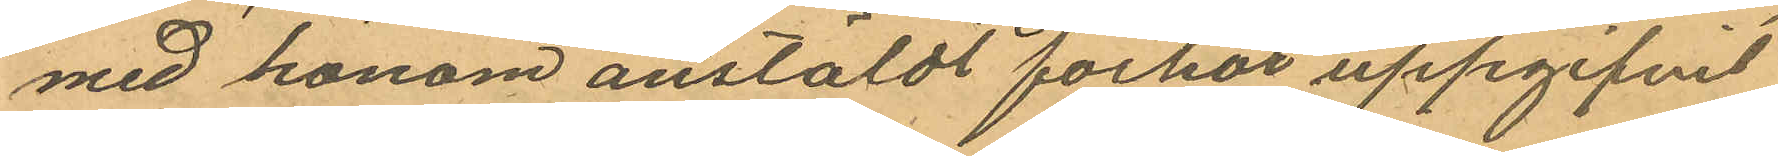med honom anstäldt förhör uppgifvit
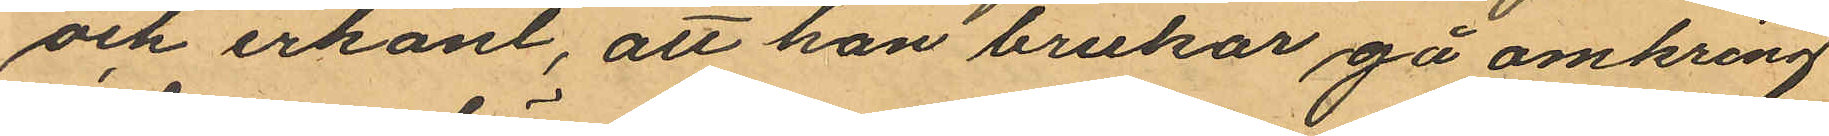och erkänt, att han brukar gå omkring
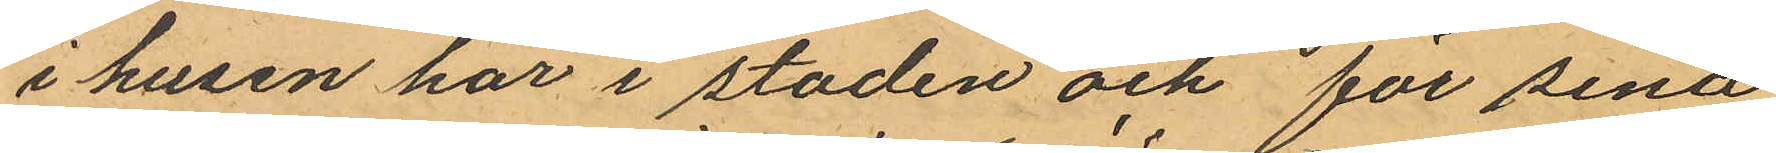i husen här i staden och för sina
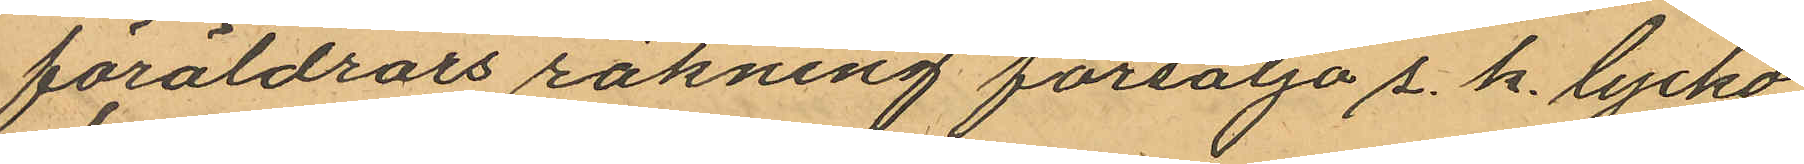föräldrars räkning försälja s. k. lycko¬
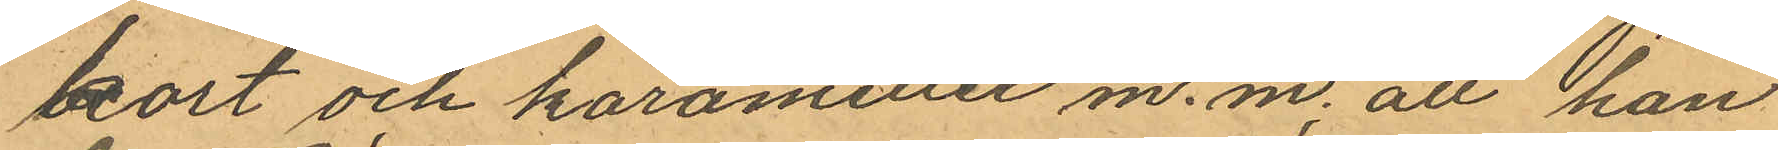kort och karameller m. m; att han
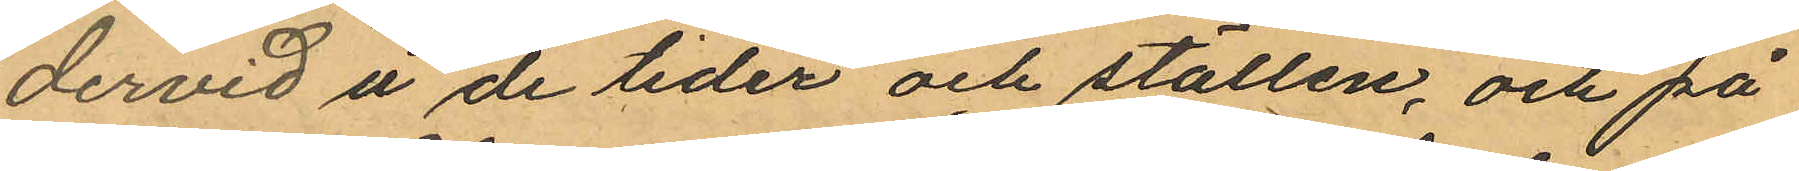dervid å de tider och ställen; och på
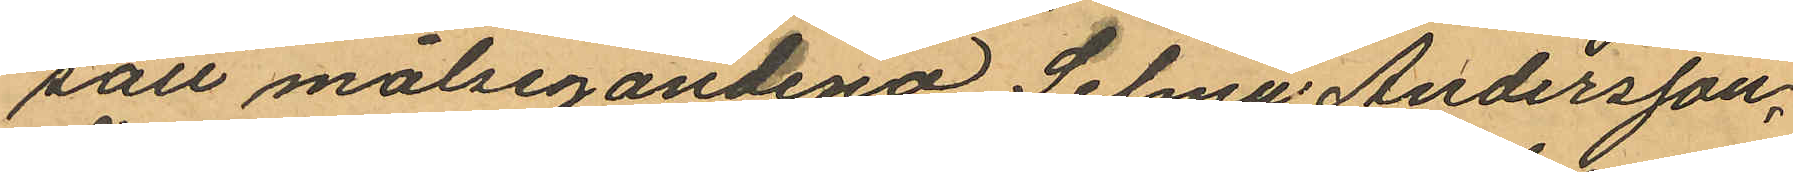sätt målsegandena Selma Andersson,
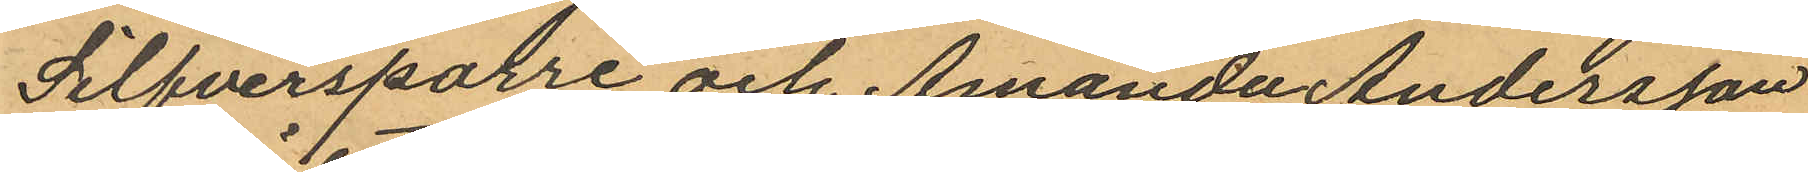Silfversparre och Amanda Andersson
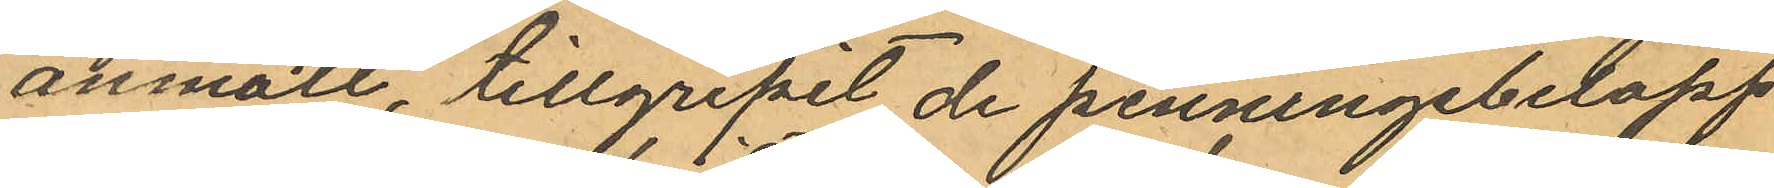anmält, tillgripit de penningebelopp
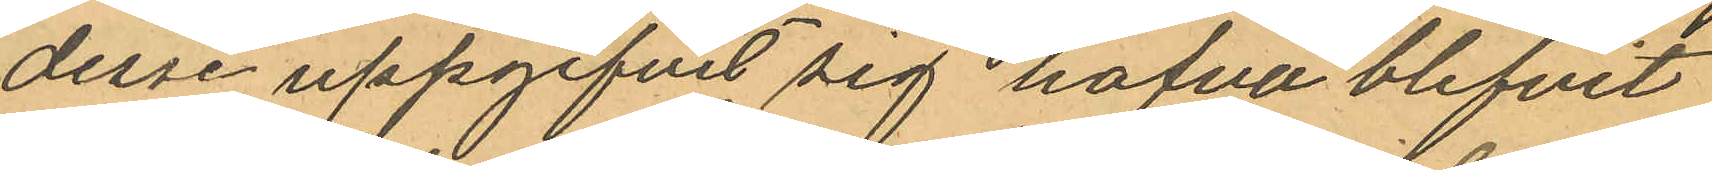desse uppgifvit sig hafva blifvit
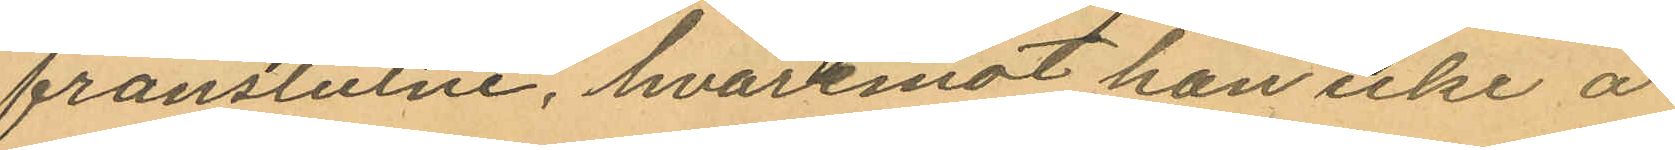frånstulne, hvaremot han icke å
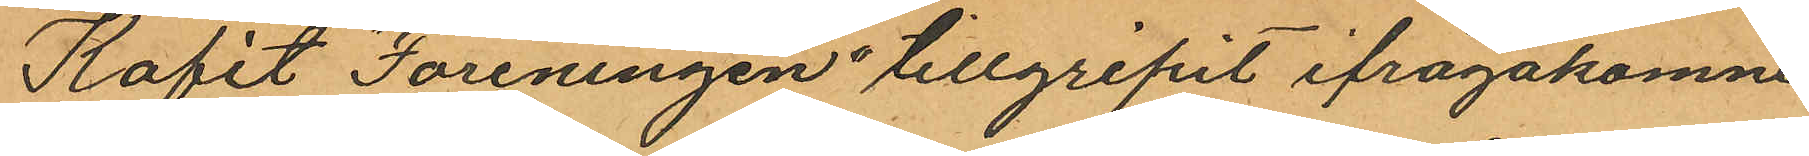Kafét "Föreningen" tillgripit ifrågakomne
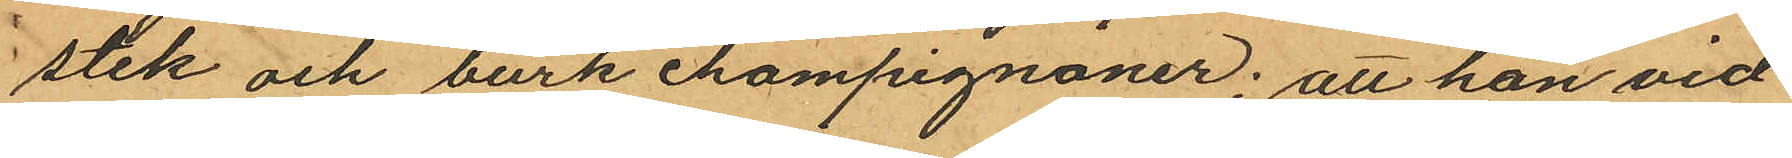stek och burk champignoner; att han vid
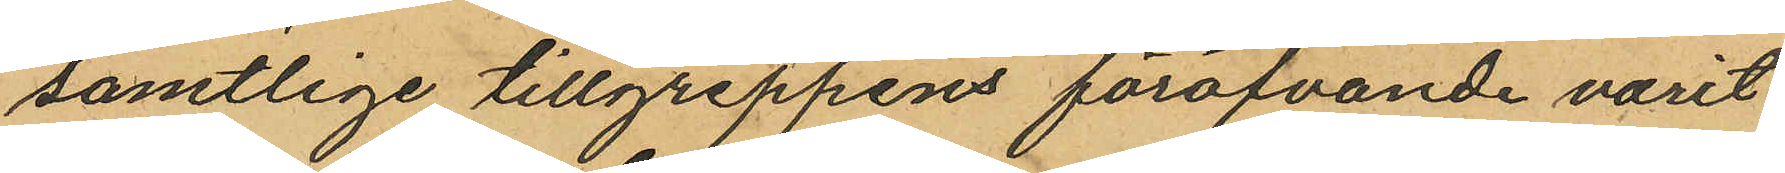samtlige tillgreppens föröfvande varit
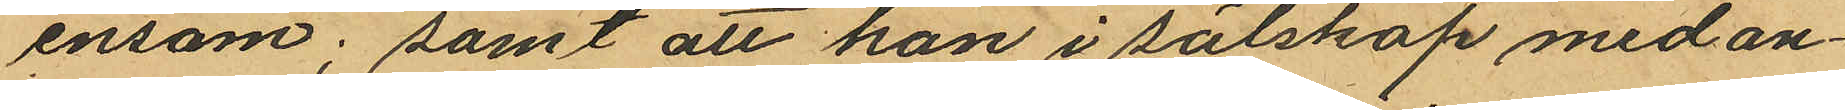ensam; samt att han i sälskap med an¬
